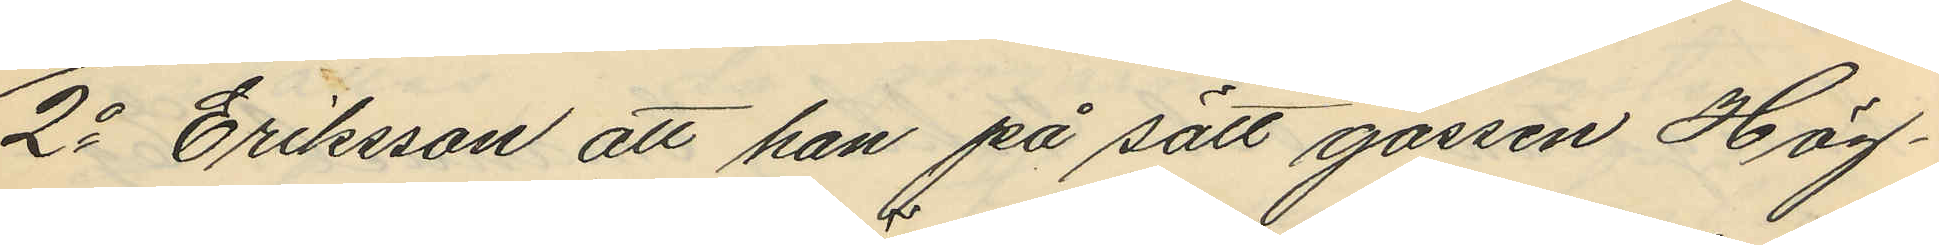2o Eriksson att han på sätt gossen Hög¬
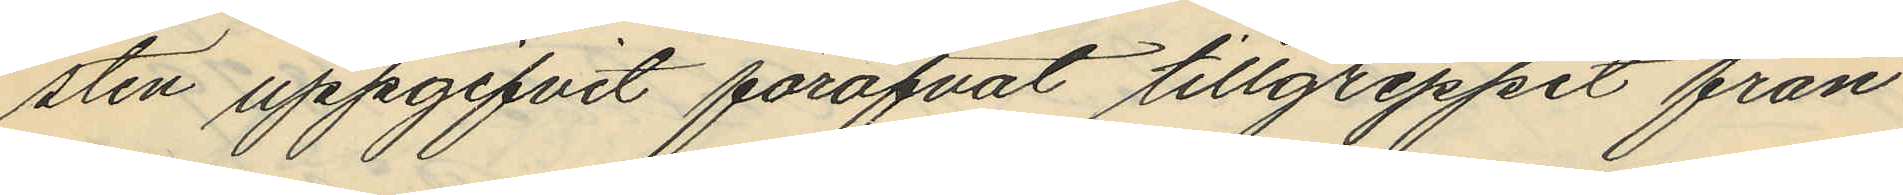sten uppgifvit föröfvat tillgreppet från
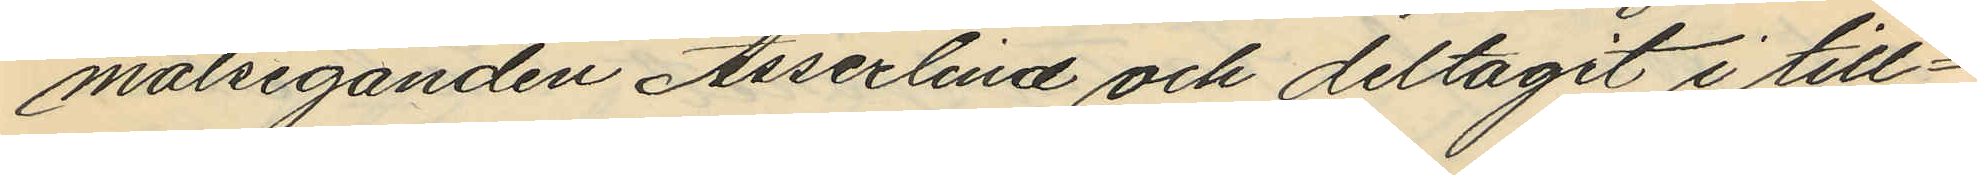målseganden Asserlind och deltagit i till¬
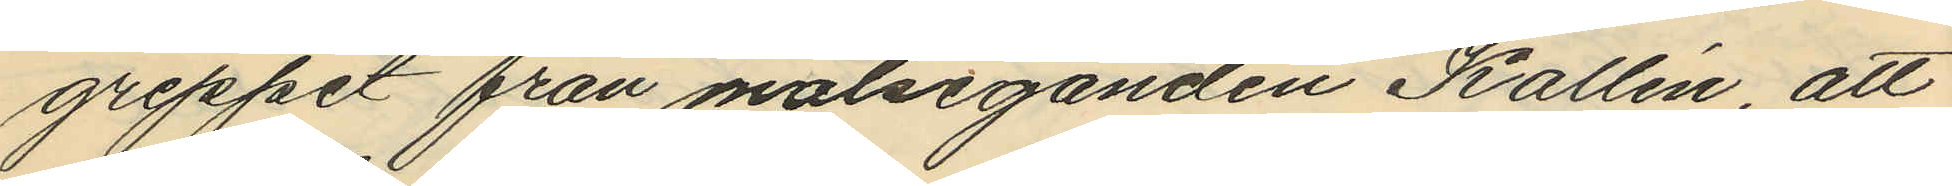greppet från målseganden Kallén att
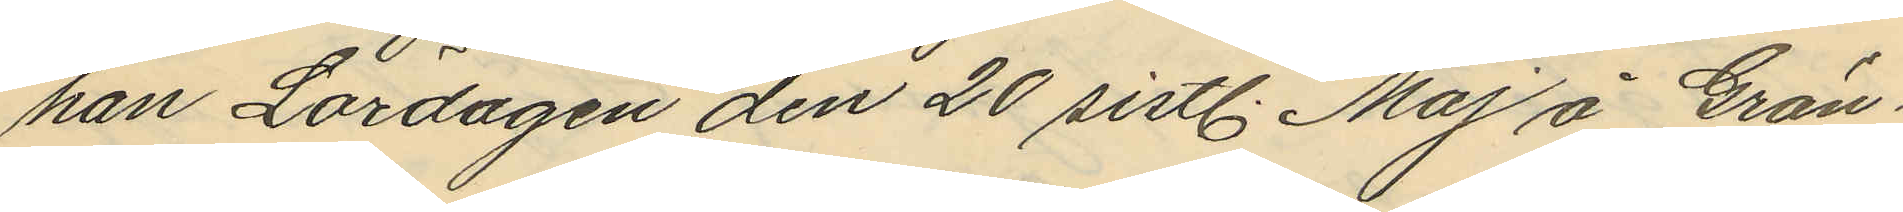han Lördagen den 20 sistl. Maj å Grön¬
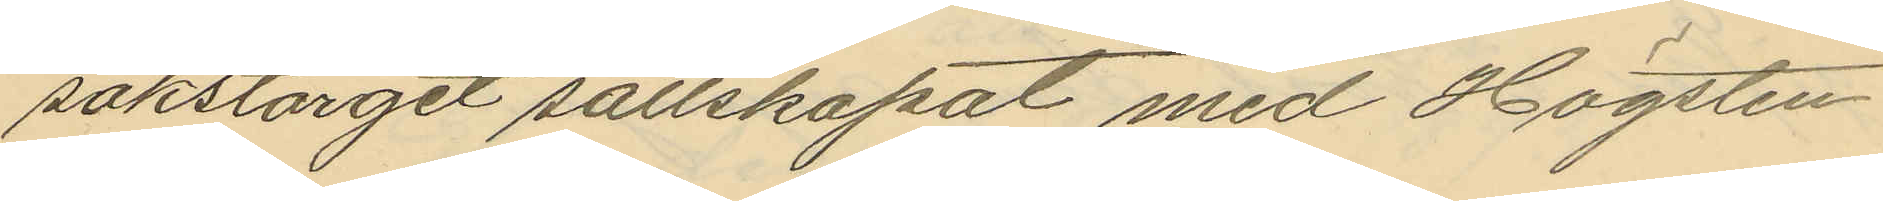sakstorget sällskapat med Högsten
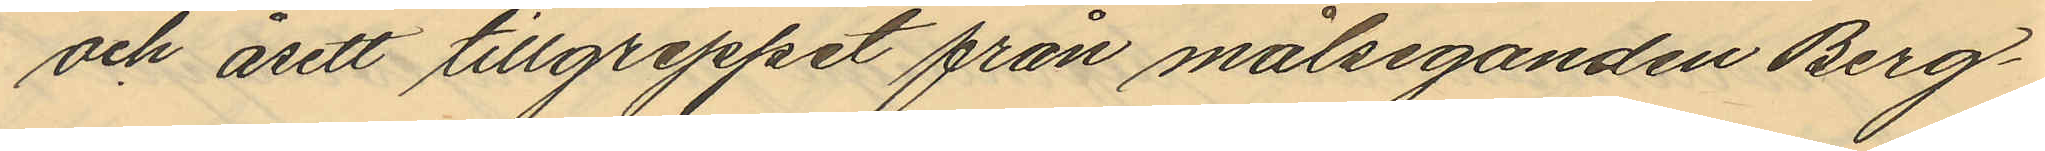och åsett tillgreppet från målseganden Berg¬
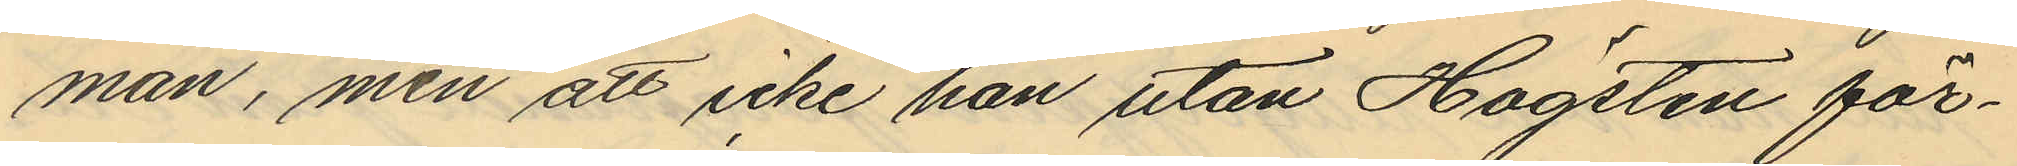man, men att icke han utan Högsten för¬
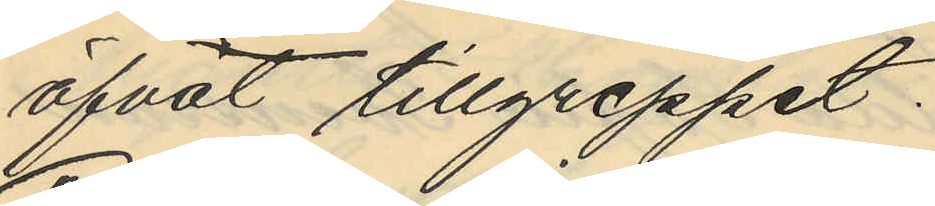öfvat tillgreppet.
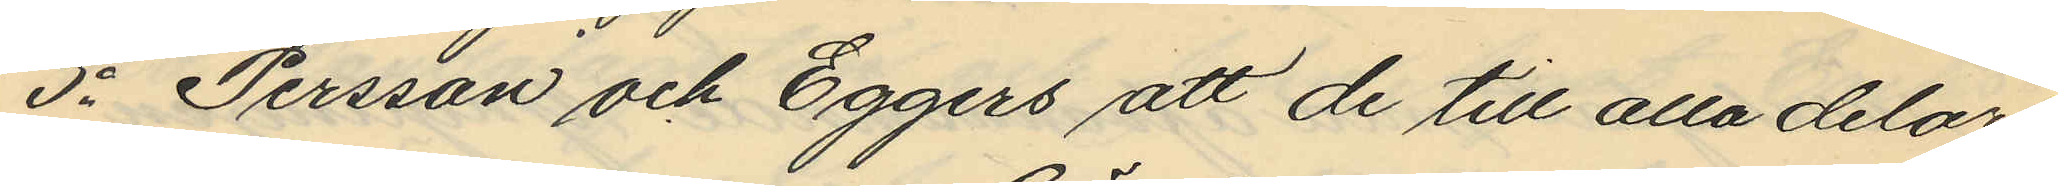3o Persson och Eggers att de till alla delar
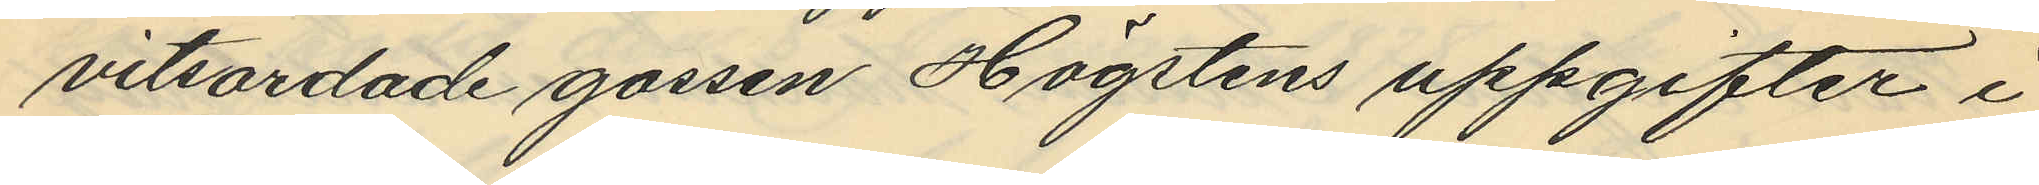vitsordade gossen Högstens uppgifter i
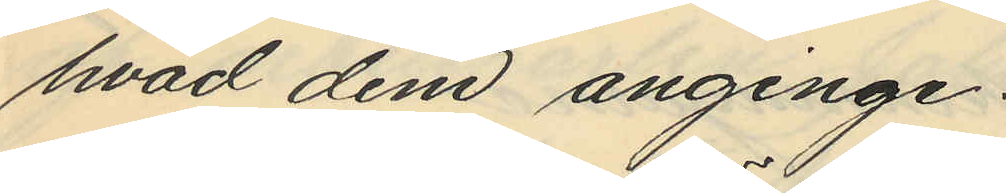hvad dem anginge.
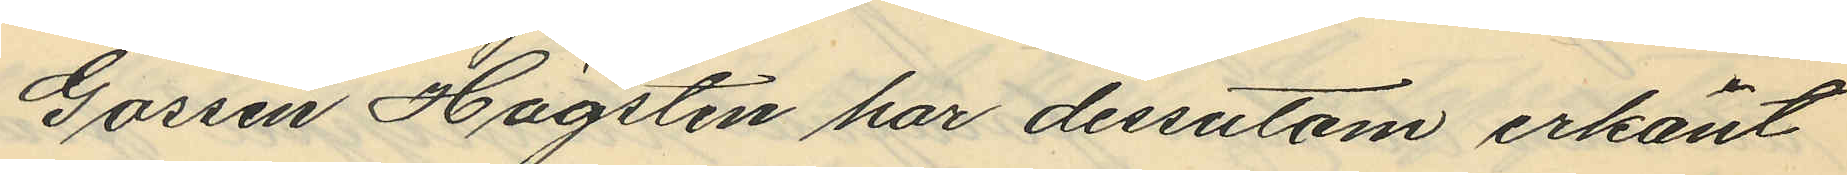Gossen Högsten har dessutom erkänt
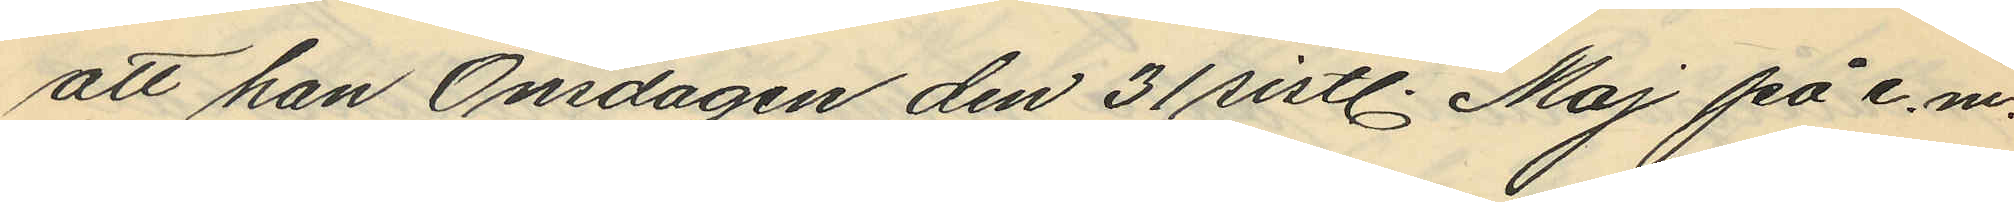att han Onsdagen den 31 sistl. Maj på e.m.
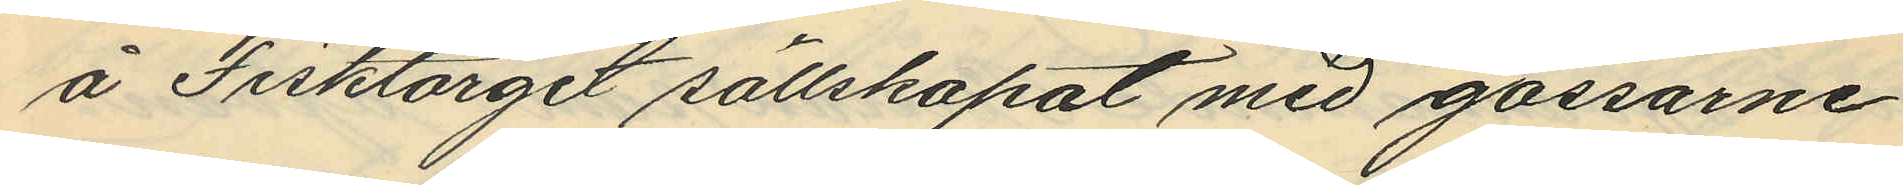å Fisktorget sällskapat med gossarne
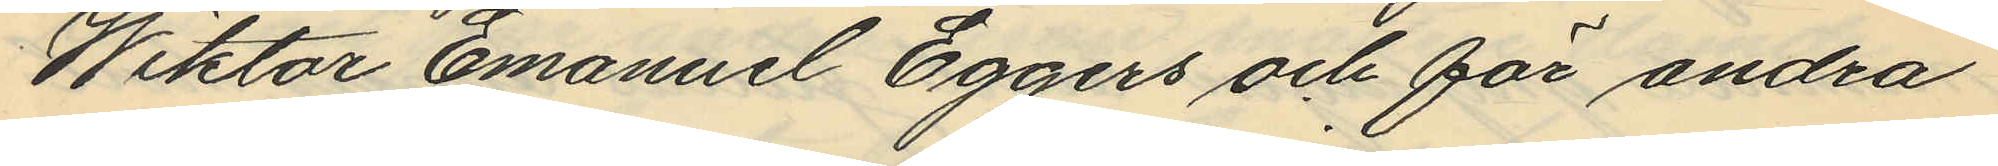Wiktor Emanuel Eggers och för andra
